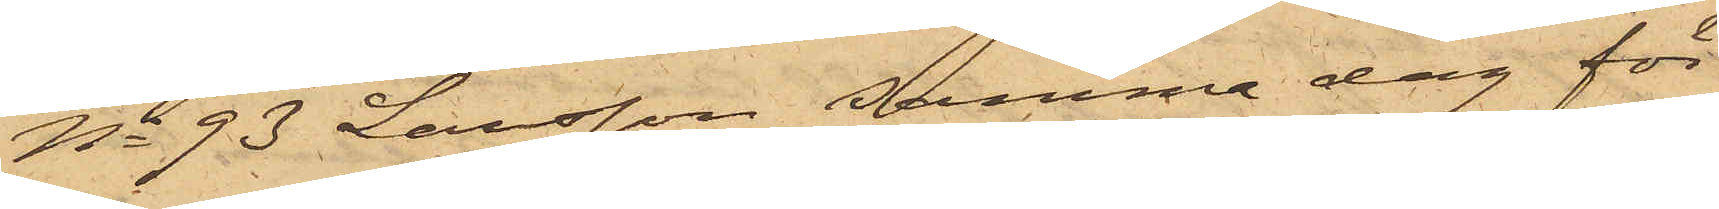No 93 Larsson samma dag för
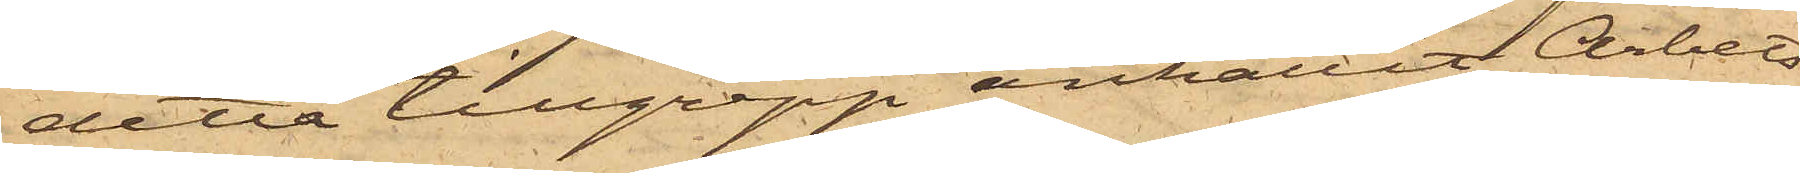detta tillgrepp anhållit Arbets¬
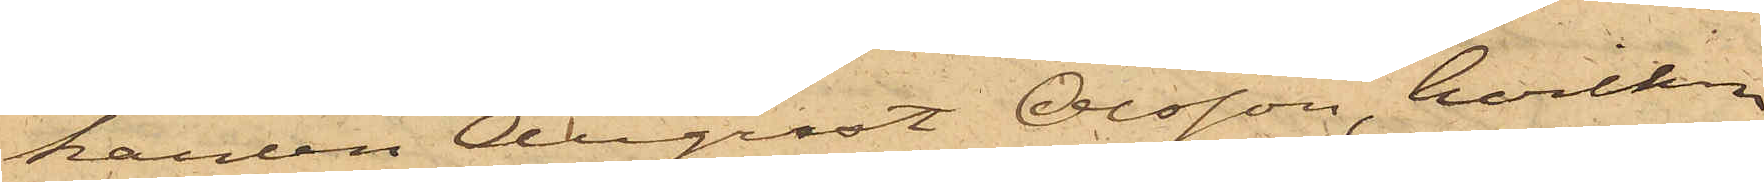karlen August Olsson, hvilken
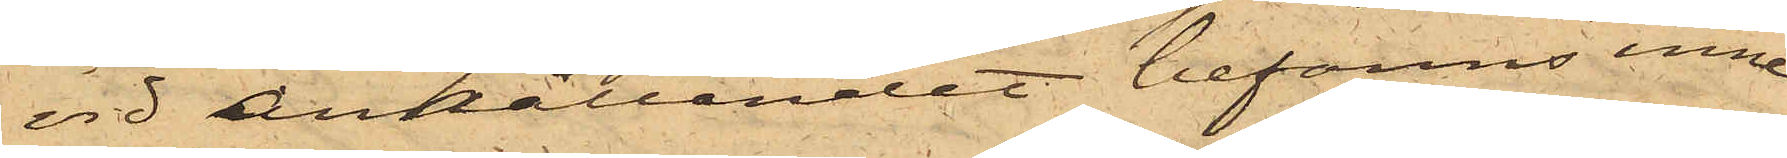vid anhållandet befanns inne¬
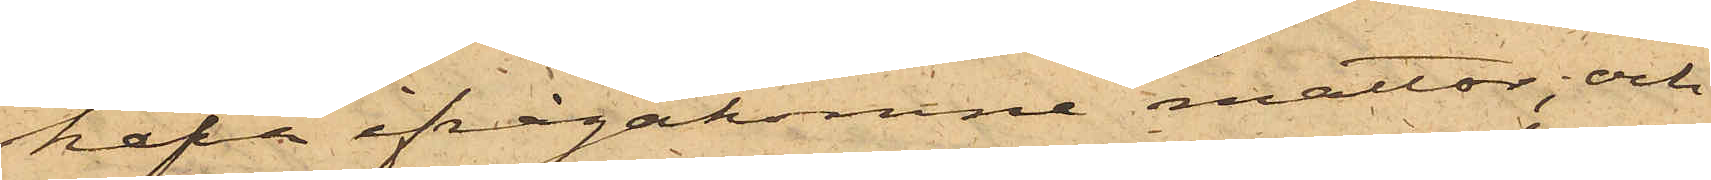hafva ifrågakomne mattor; och
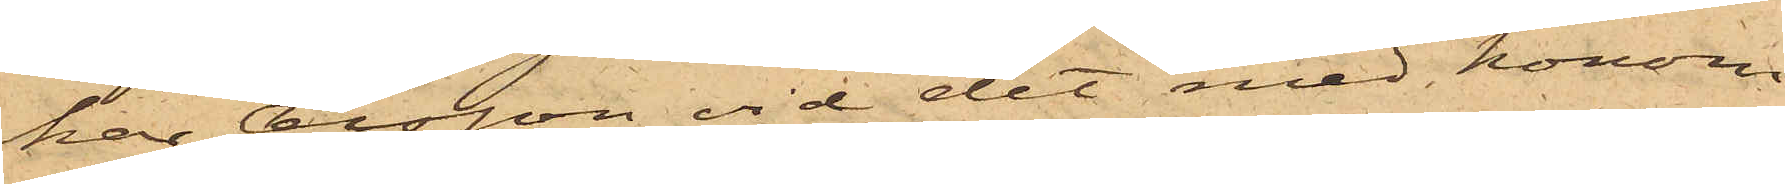har Olsson vid det med honom
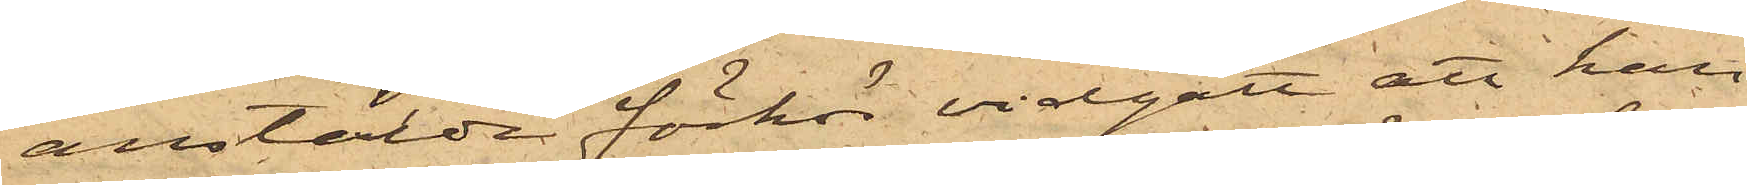anstälda förhör vidgått att han
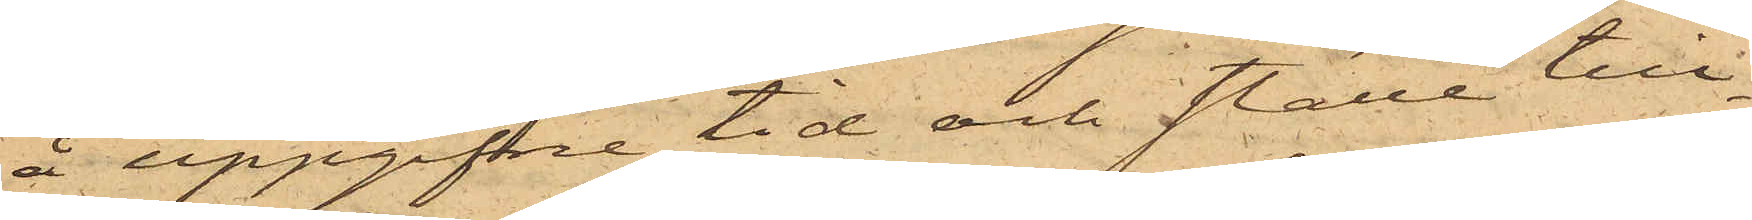å uppgifne tid och ställe till¬
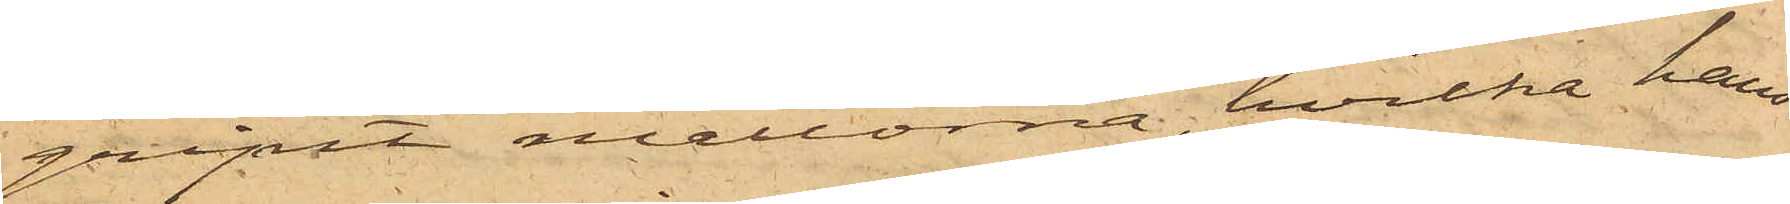gripit mattorna, hvilka hans
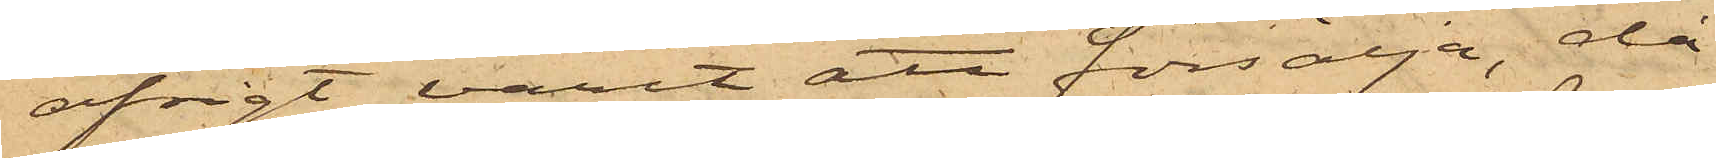afsigt varit att försälja, då
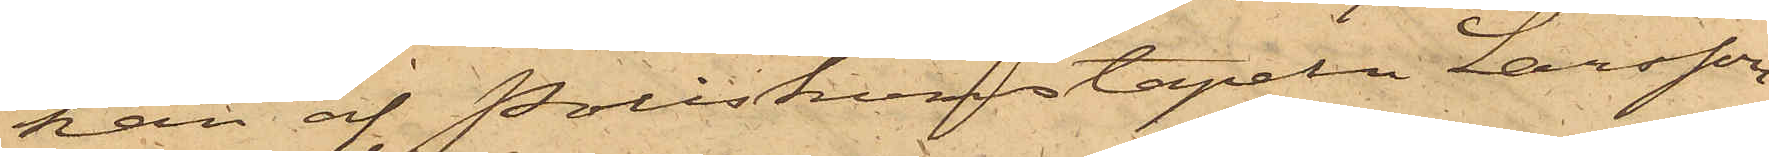han af Poliskonstapeln Larsson
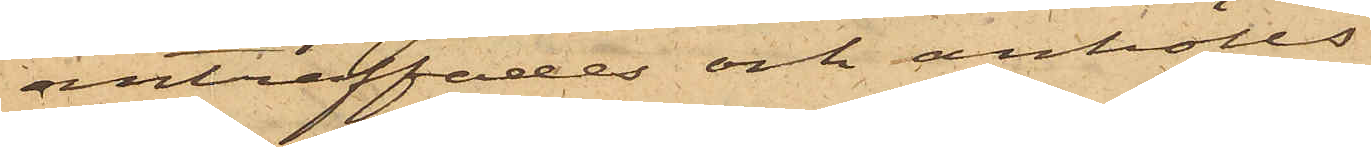anträffades och anhölls.
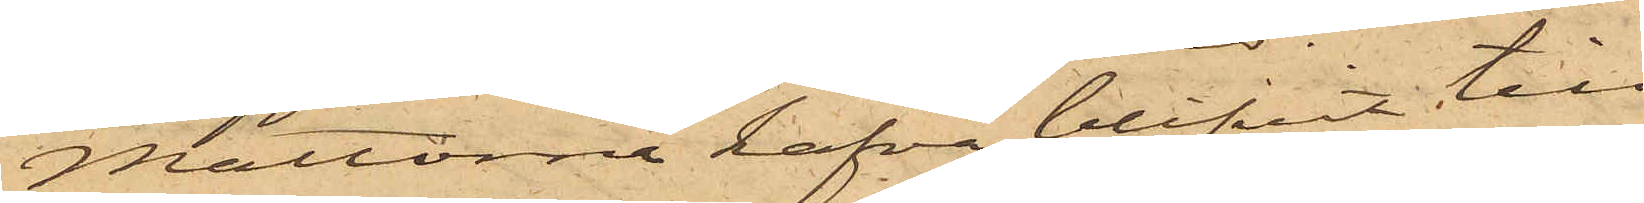Mattorna hafva blifvit till
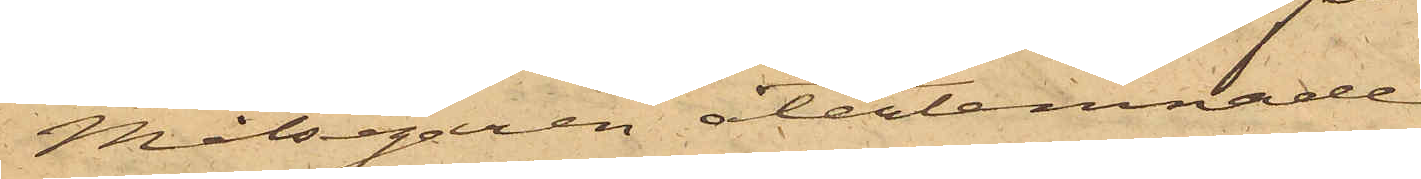Målsegaren återlemnade.
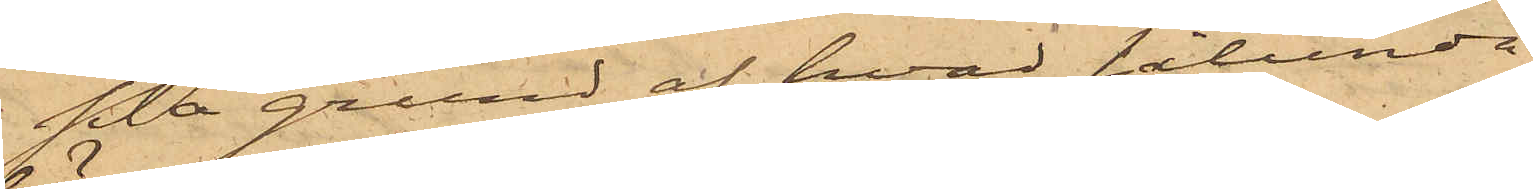På grund af hvad sålunda
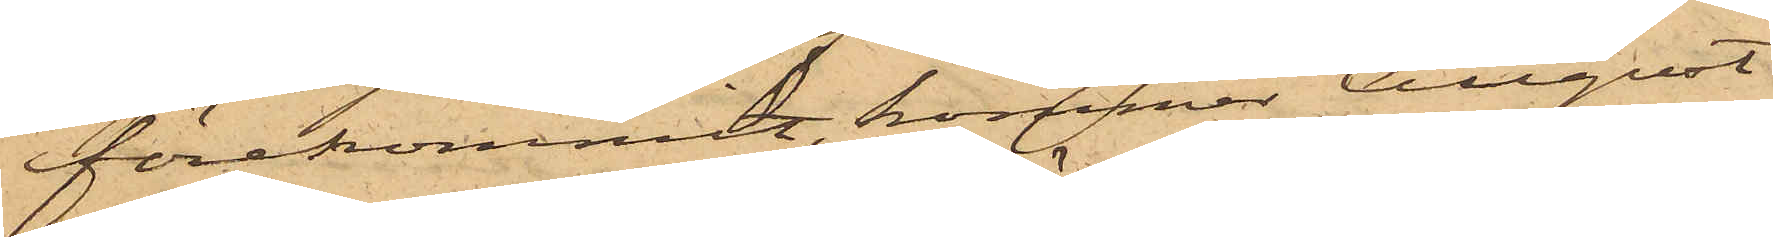förekommit, kommer August
